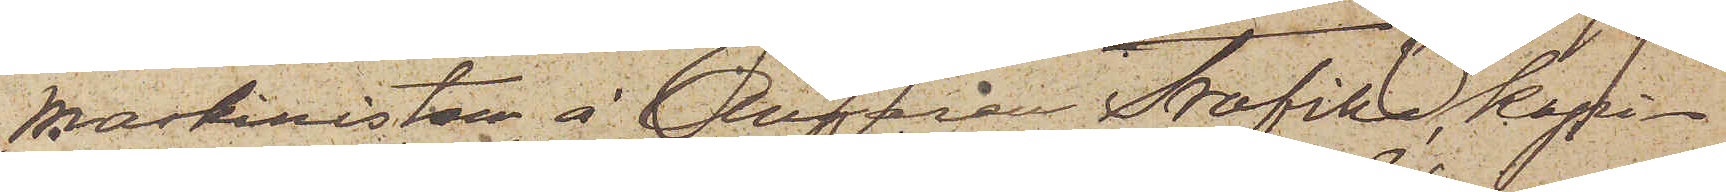Maskinisten å Ångaren "Trafik", kapi¬
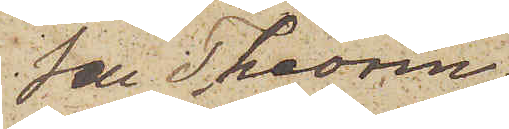ten Theorin,
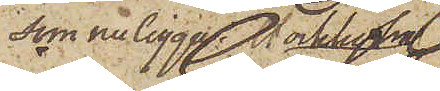som nu ligger i Stockholm
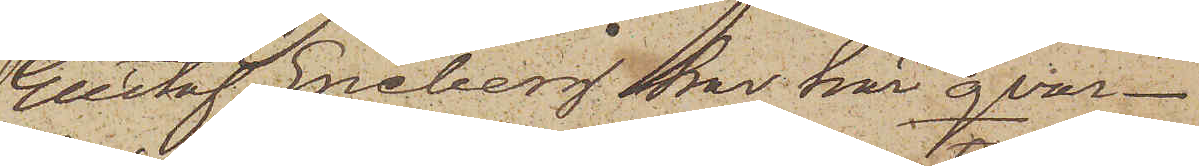Gustaf Eneberg har här qvar¬
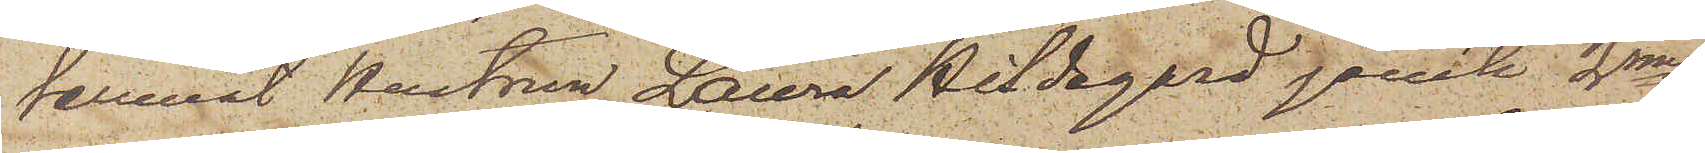lemnat hustrun Laura Hildegard jemte 2nne
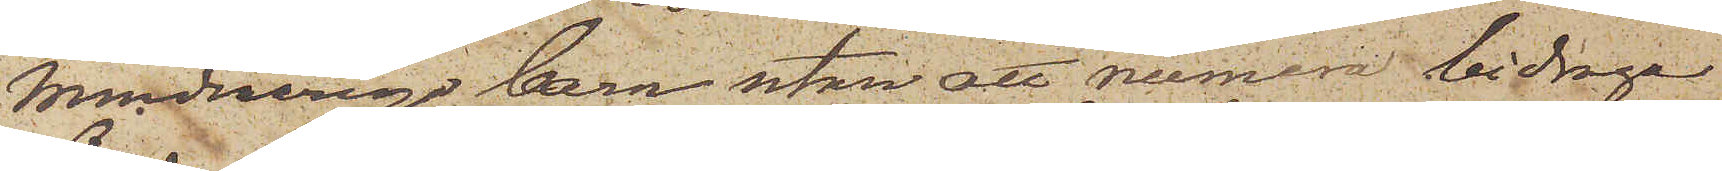minderåriga barn utan att numera bidraga
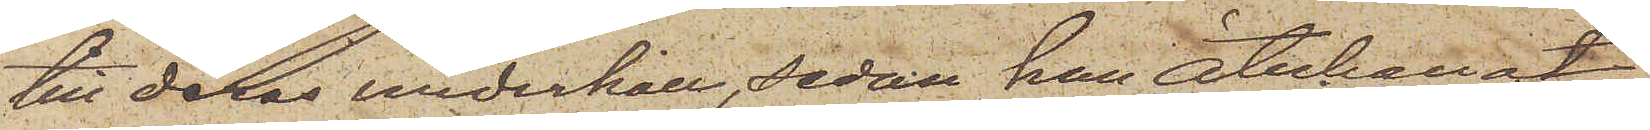till deras underhåll, sedan han återkallat
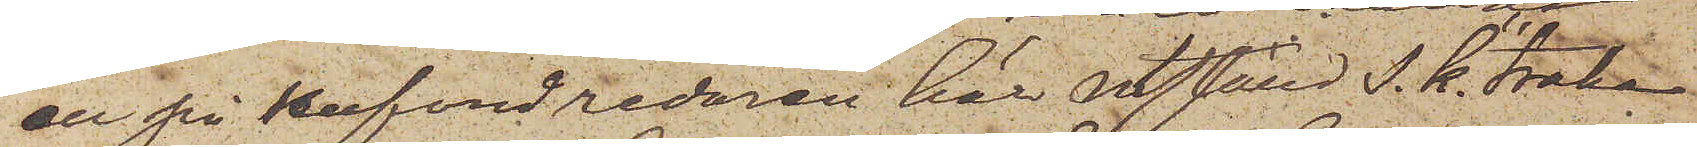en på hufvudredaren här utställd s. k. "trak¬
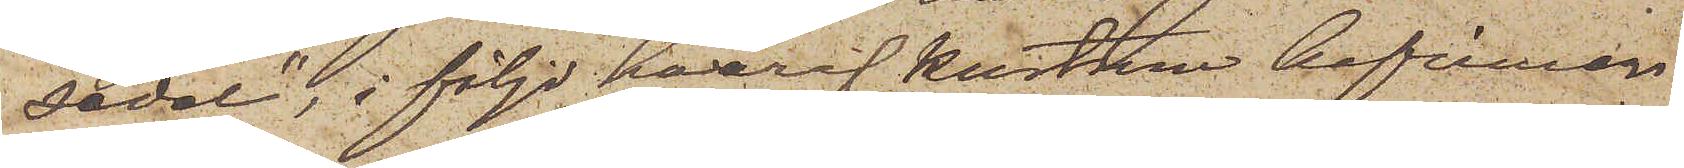sedel", i följd hvaraf hustrun befinner
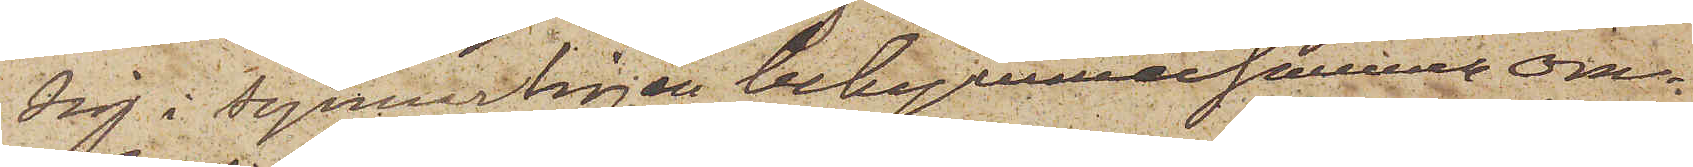sig i synnerligen bekymmersamma om¬
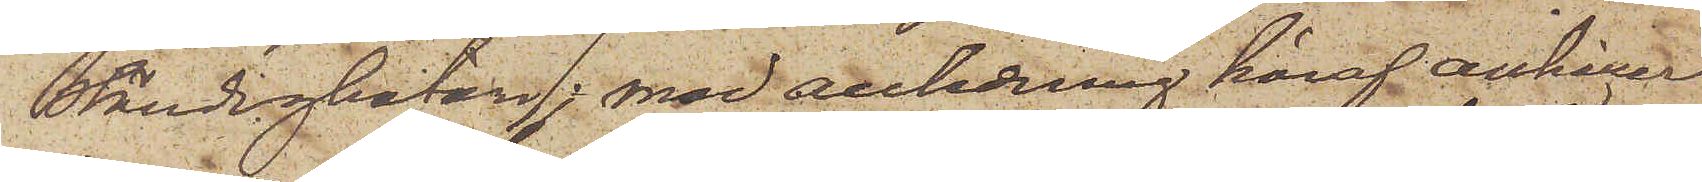ständigheter; med anledning häraf anhåller
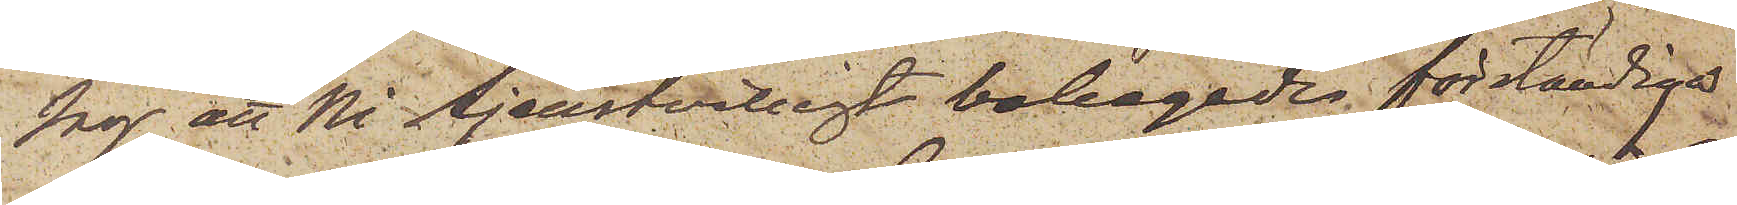jag att Ni tjenstvilligt behagade förständiga
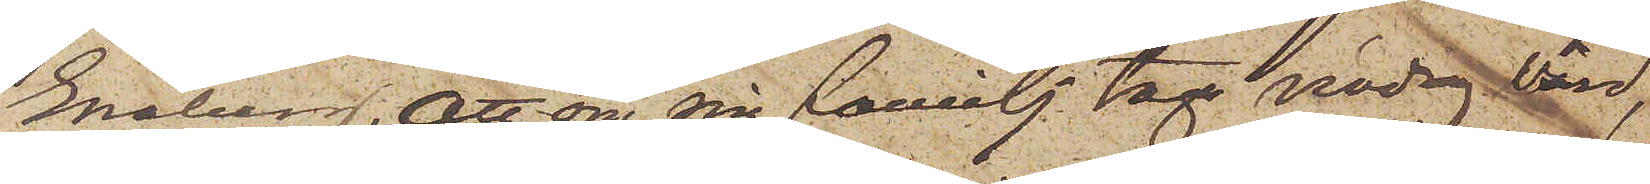Eneberg, att om sin familj taga nödig vård,
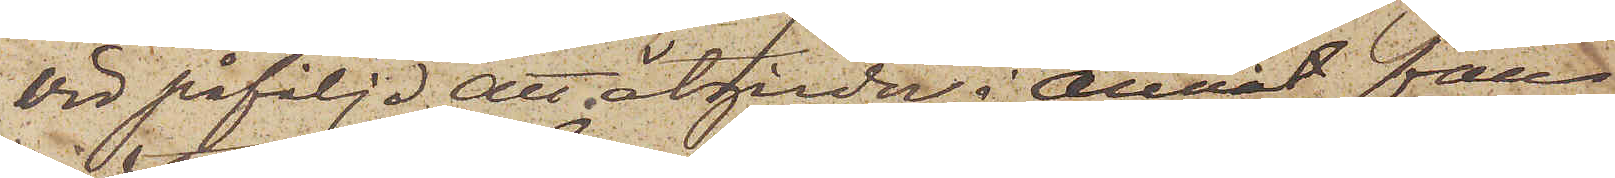vid påföljd att åtgärder i annat fall
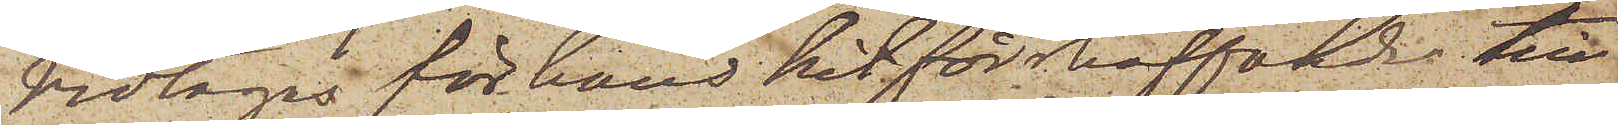vidtagas för hans hitförskaffande till
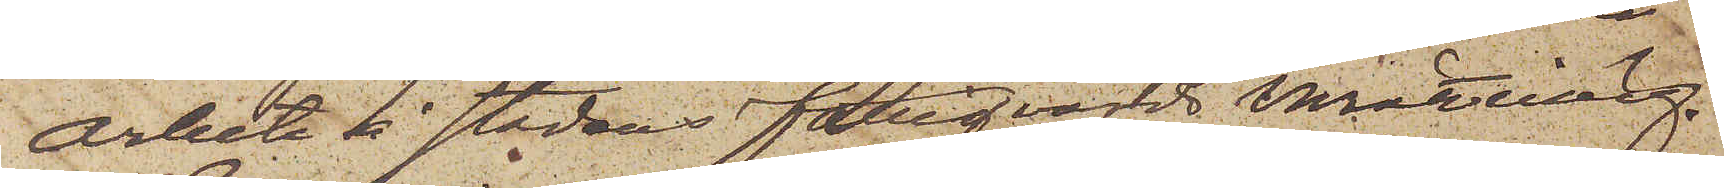arbete å stadens fattigvårds inrättning.
